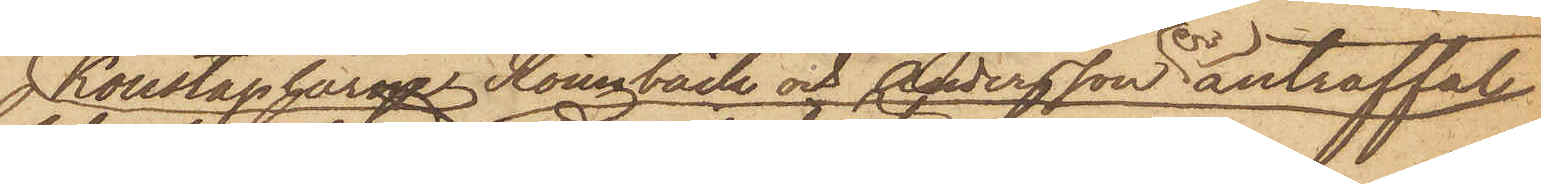Konstaplarne Rönnbäck och Andersson anträffat
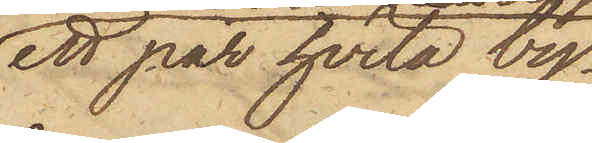ett par hvita by¬
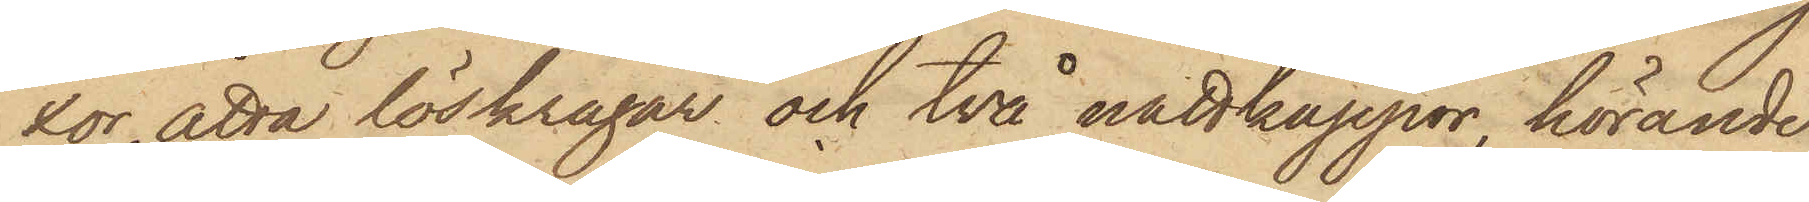xor, åtta löskragar och två nattkappor, hörande
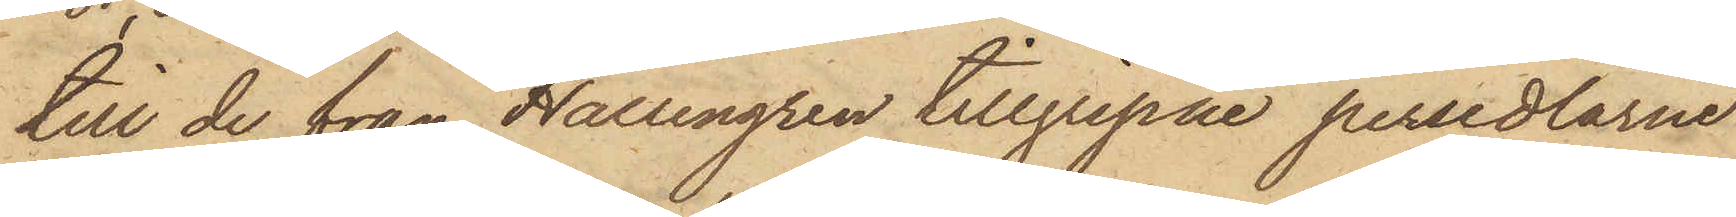till de från Hallengren tillgripne persedlarne
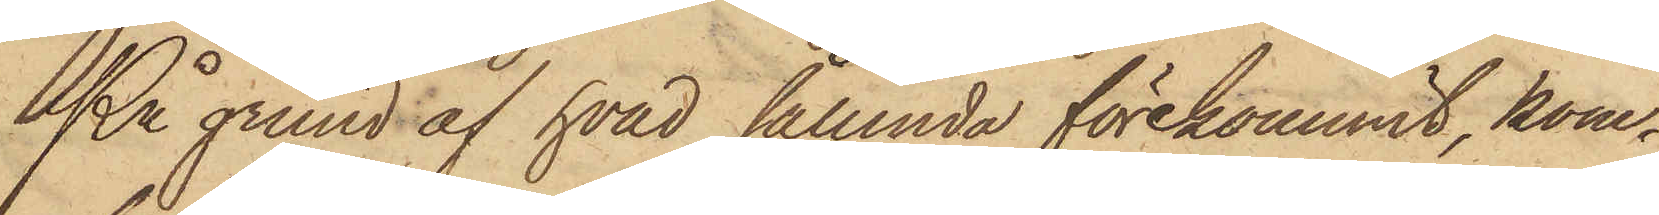På grund af hvad sålunda förekommit, kom¬
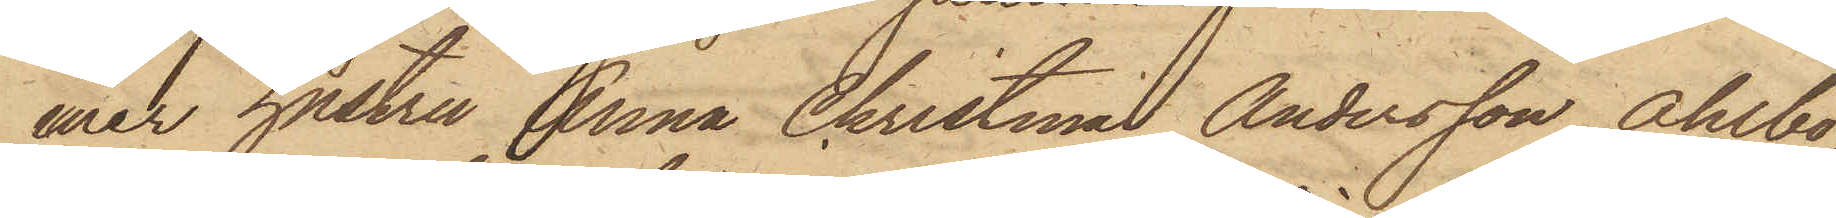mer hustru Anna Christina Andersson Ahlbo,
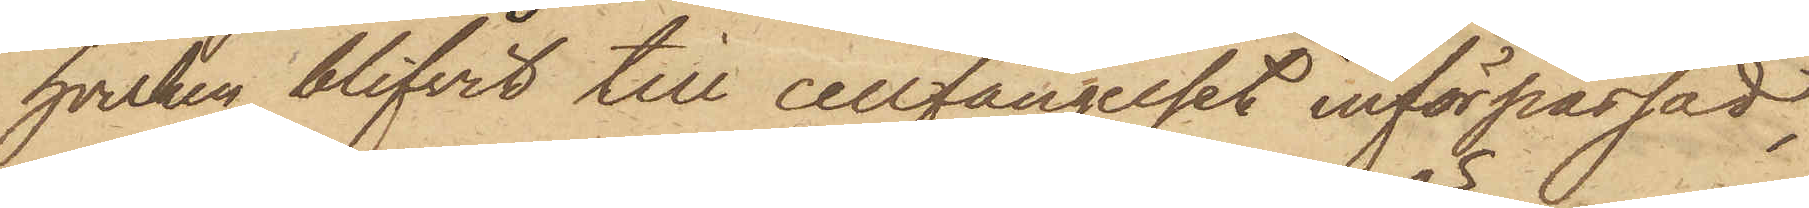hvilken blifvit till cellfängelset införpassad,
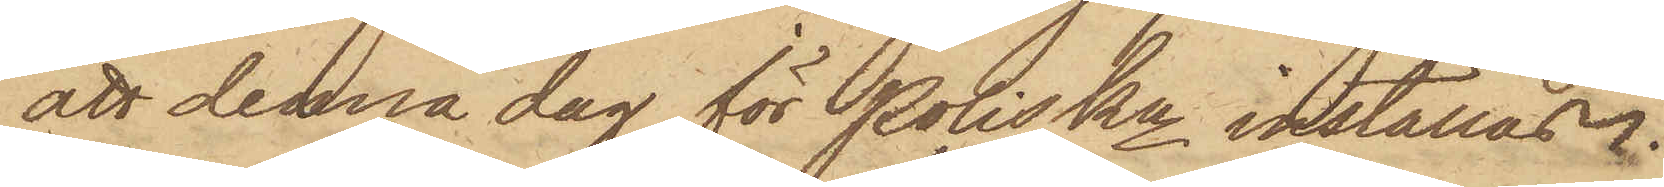att denna dag för PolisKn inställas.
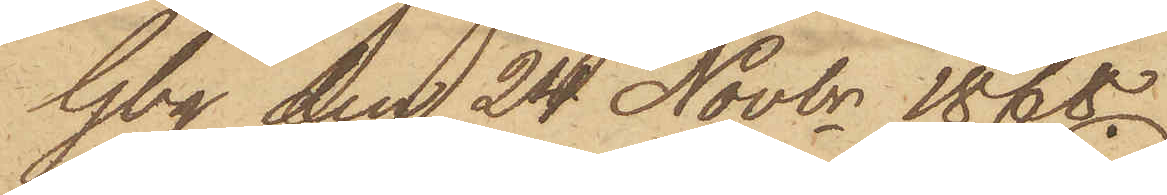Gbg den 24 Novbr 1868.
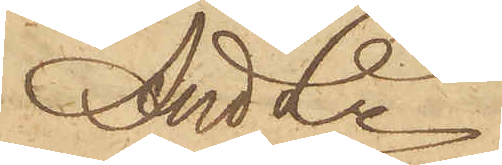And Ln.
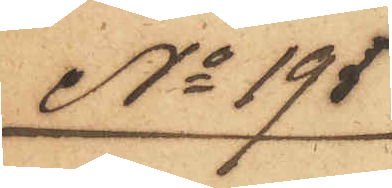No 195
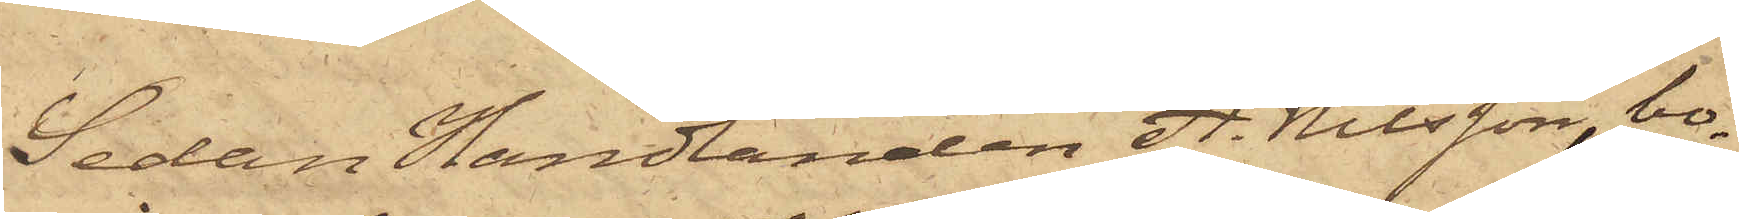Sedan Handlanden A. Nilsson, bo¬
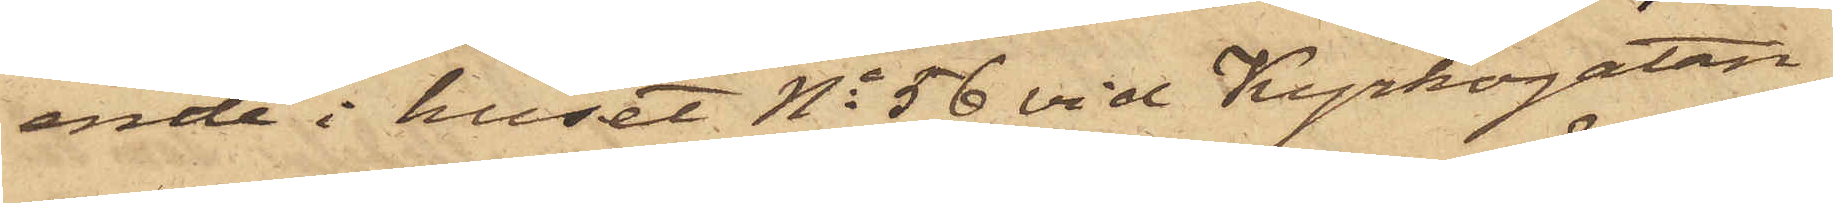ende i huset No 56 vid Kyrkogatan,
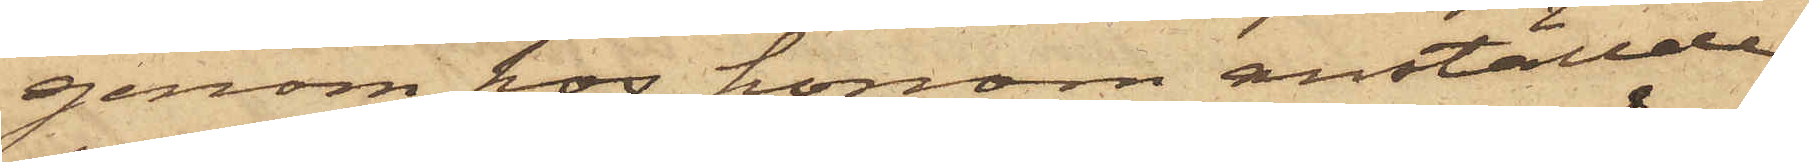genom hos honom anställde
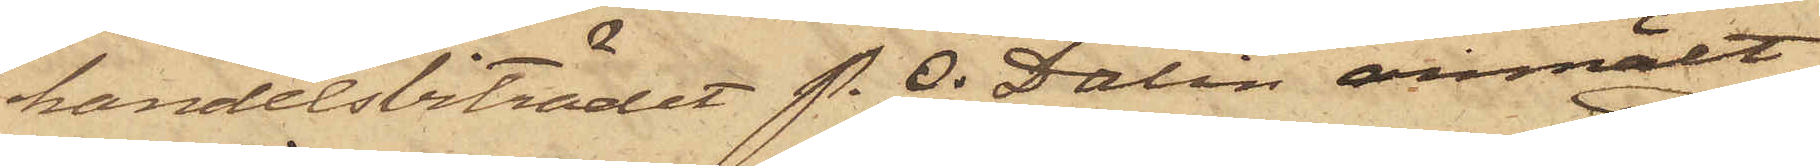handelsbiträdet P. O. Dalin anmält,
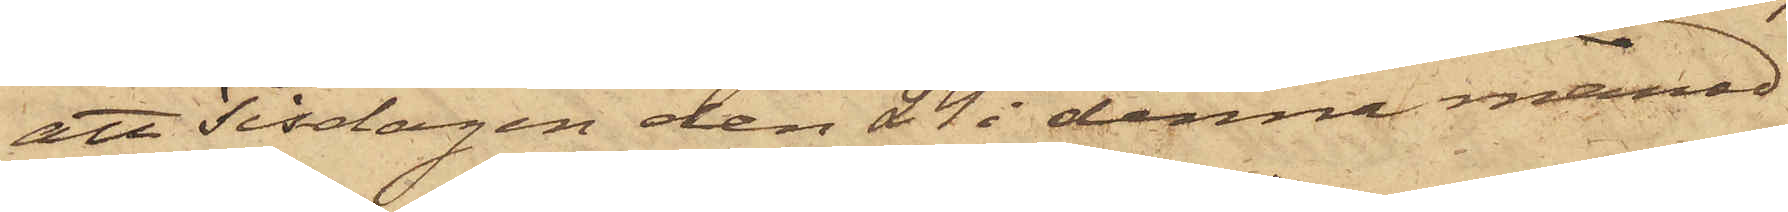att Tisdagen den 24 i denna månad
